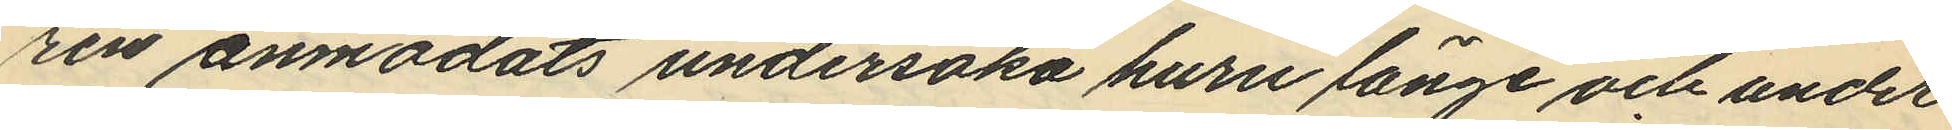ren anmodats undersöka huru länge och under
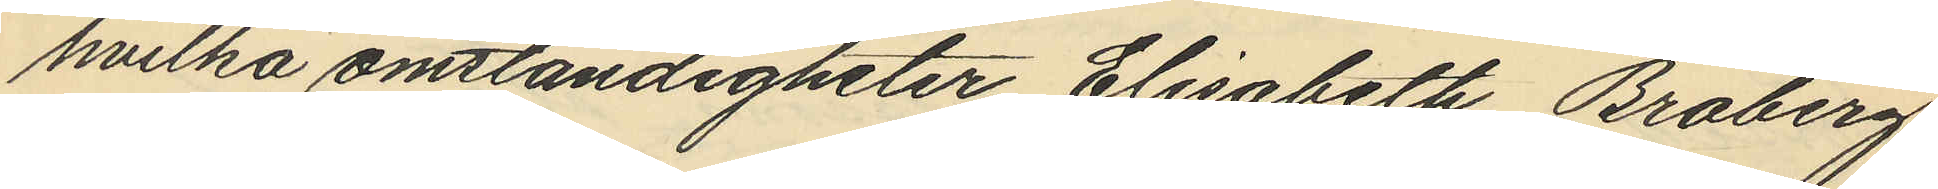hvilka omständigheter Elisabeth Broberg
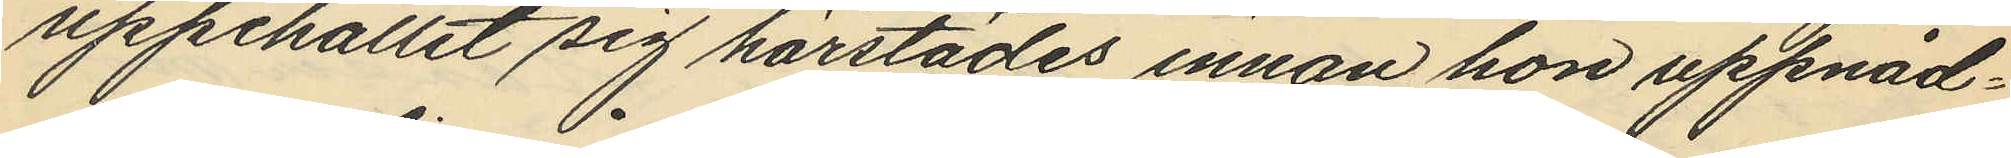uppehållit sig härstädes innan hon uppnåd¬
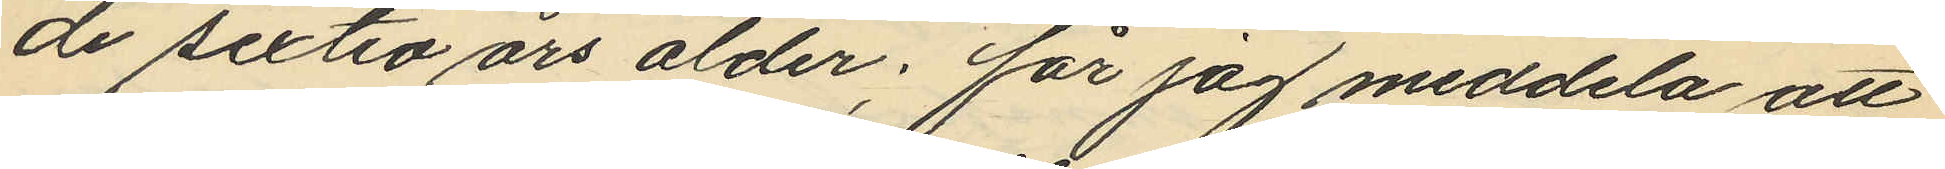de sextio års ålder; får jag meddela att
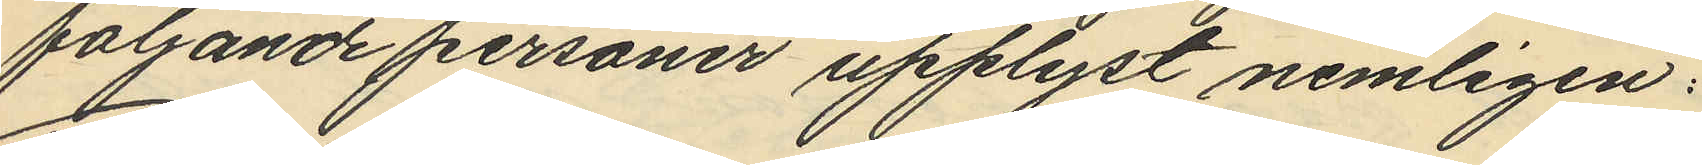följande personer upplyst nemligen:
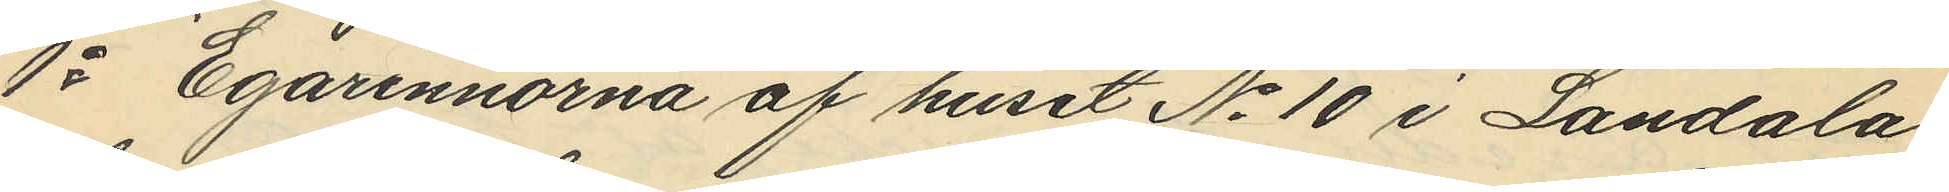1o Egarinnorna af huset No 10 i Landala
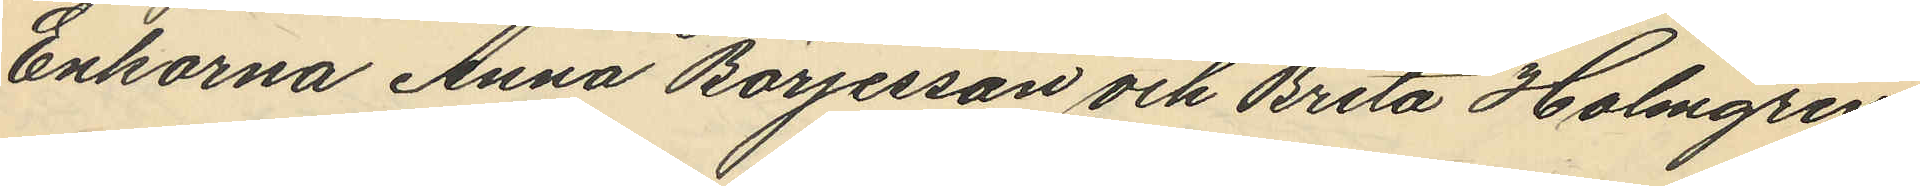Enkorna Anna Börjesson och Brita Holmgren
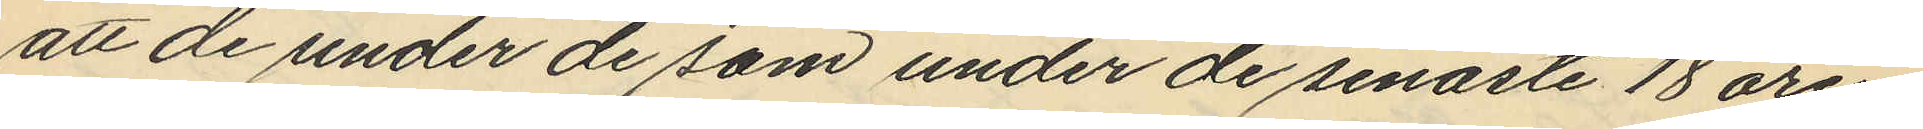att de under de som under de senaste 18 åren
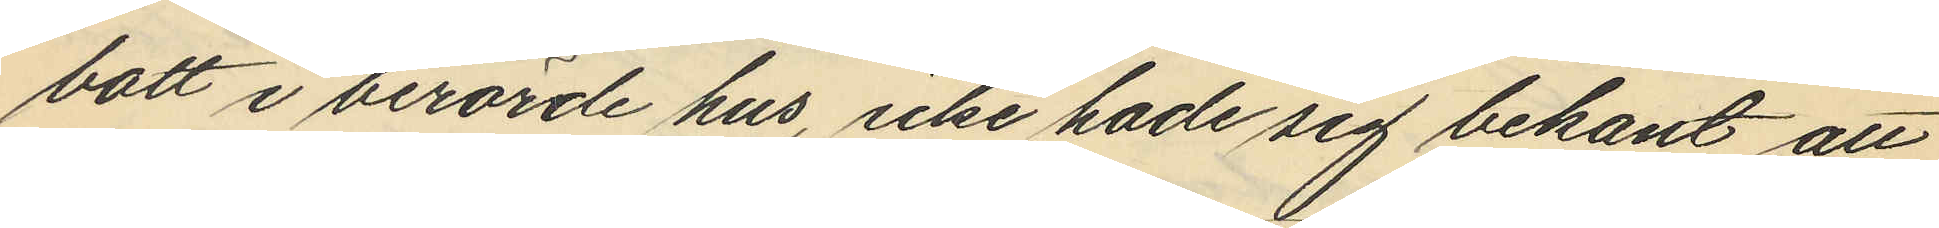bott i berörde hus, icke hade sig bekant att
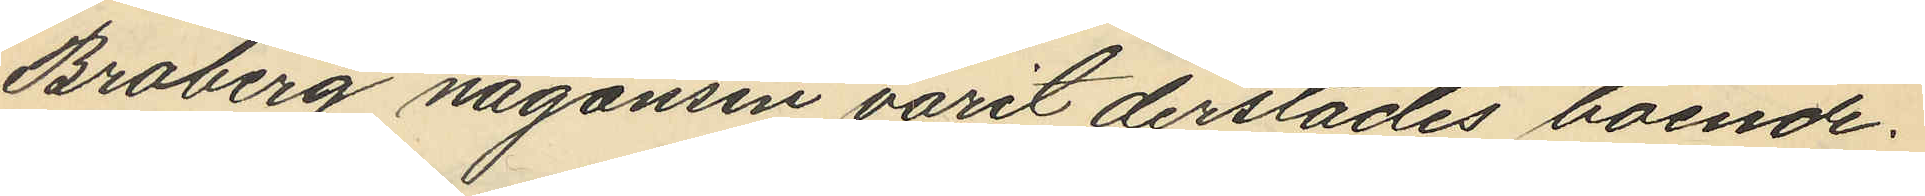Broberg någonsin varit derstädes boende.
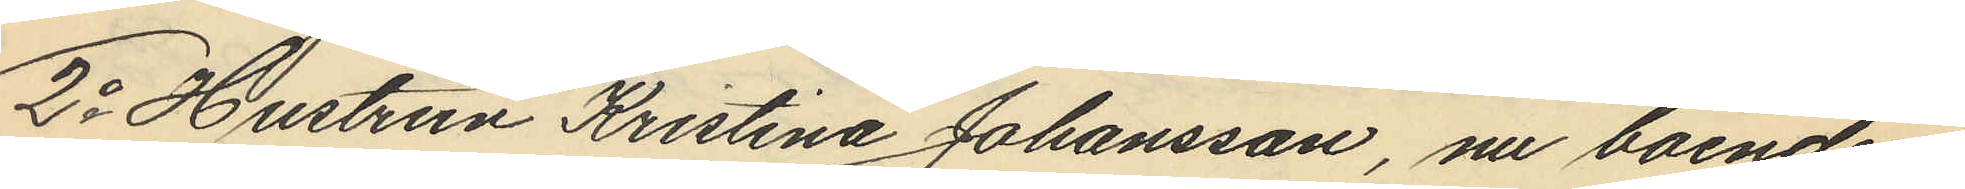2o Hustrun Kristina Johansson, nu boende i
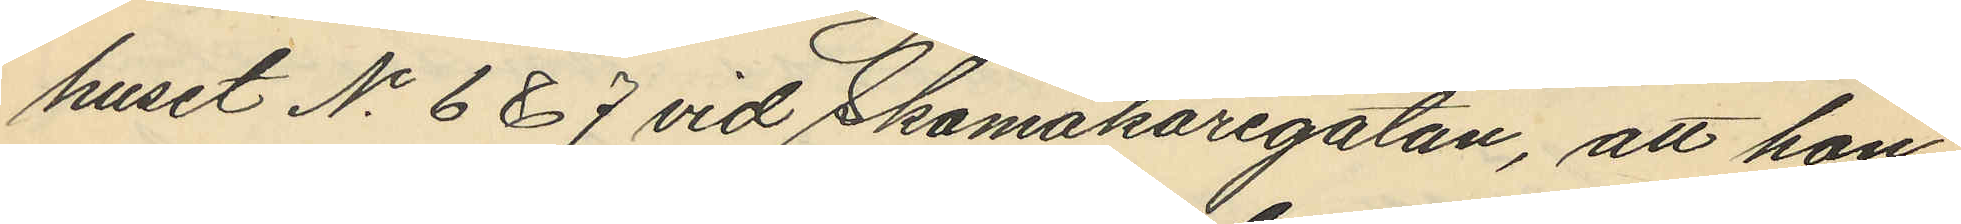huset No 6 &7 vid Skomakaregatan, att hon
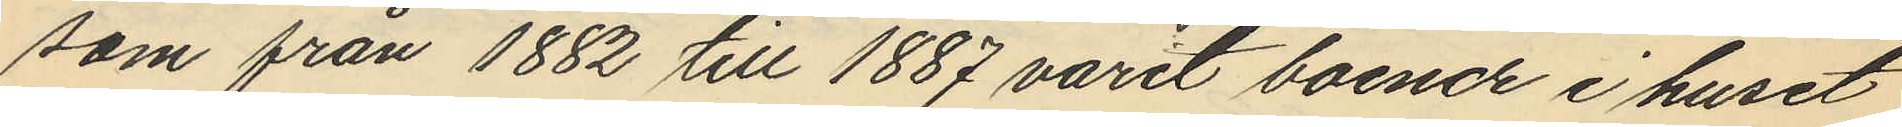som från 1882 till 1887 varit boende i huset
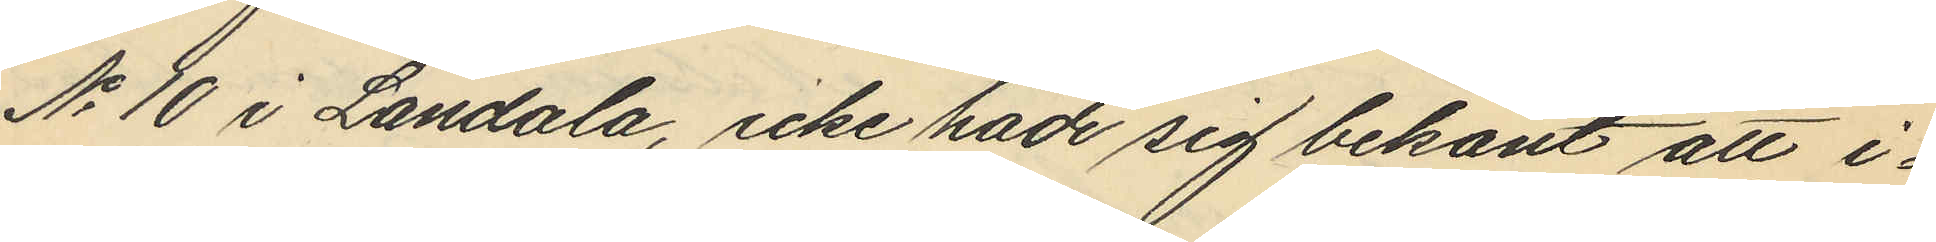No 10 i Landala, icke hade sig bekant att i¬
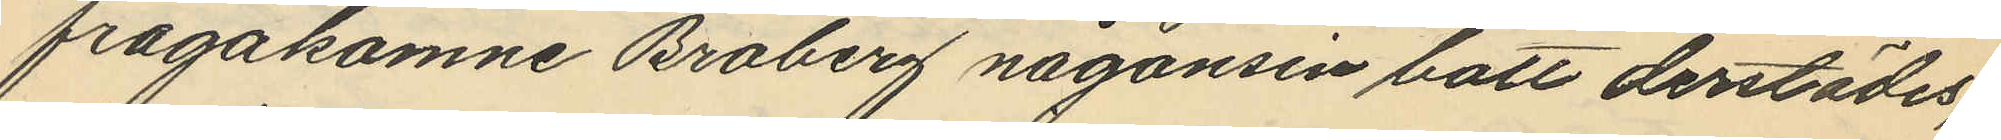frågakomne Broberg någonsen bott derstädes;
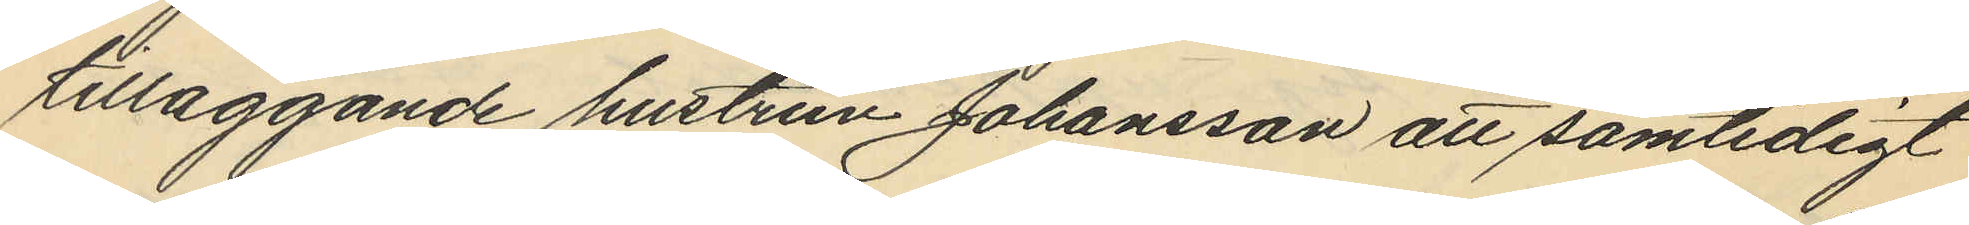tilläggande hustrun Johansson att samtidigt
